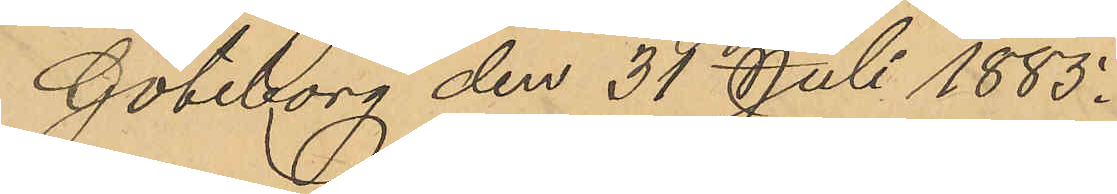Göteborg den 37 Juli 1885.
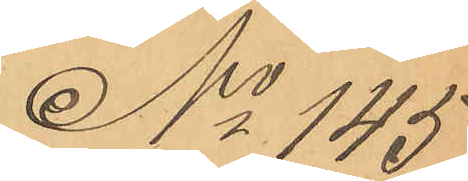No 145
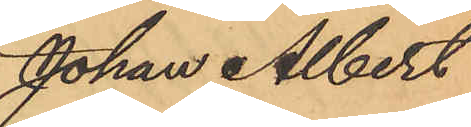Johan Albert
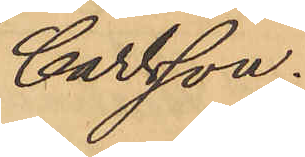Carlsson.
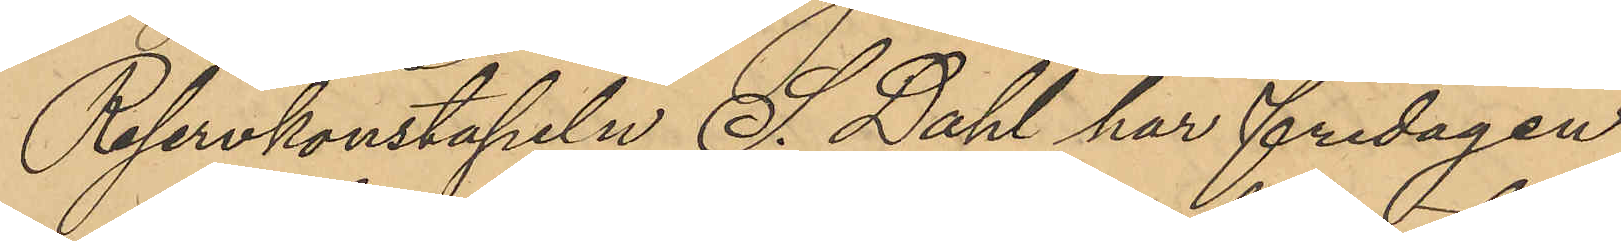Reservkonstapeln S. Dahl har fredagen
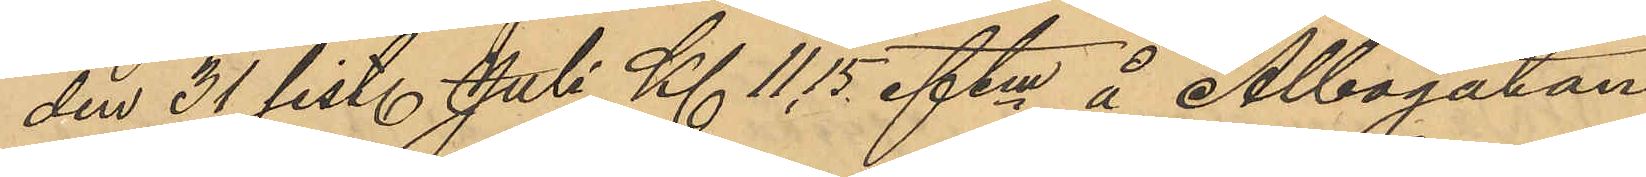den 31 sistl. Juli Kl 11,15 eftm å Albogatan
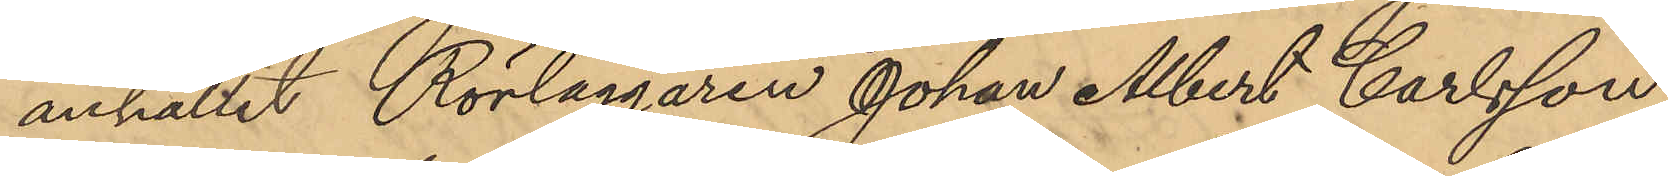anhållit Rörläggaren Johan Albert Carlsson,
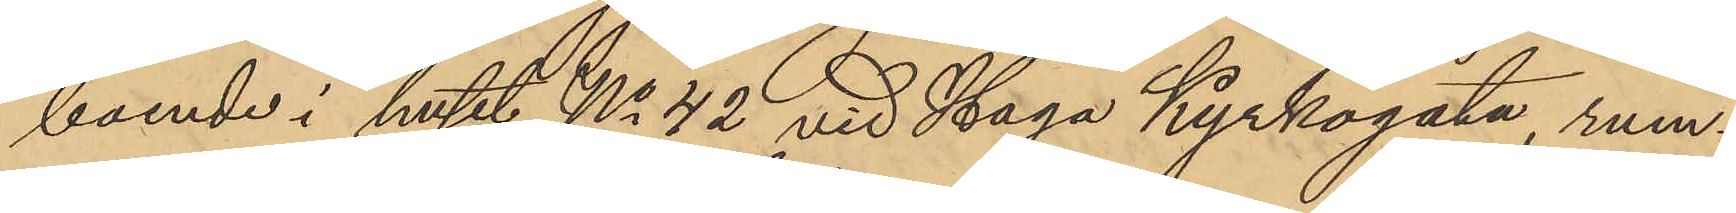boende i huset No 42 vid Haga Kyrkogata, rum¬
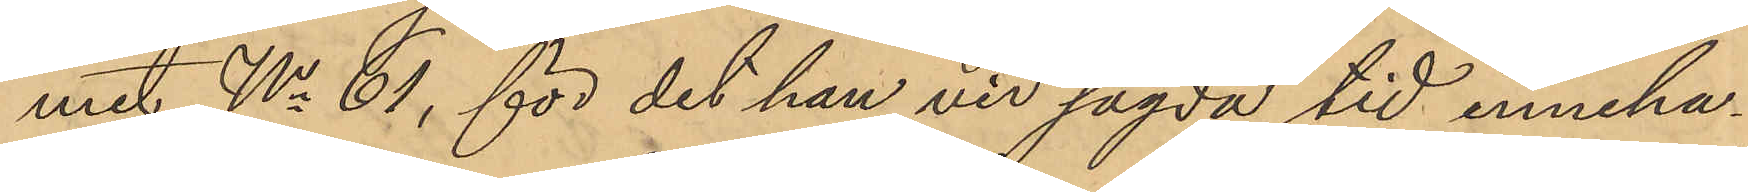met No 61, för det han vid sagda tid inneha¬
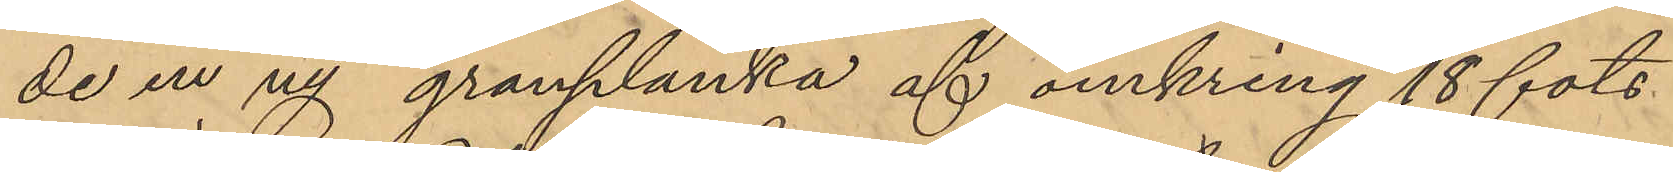de en ny granplanka af omkring 18 fots
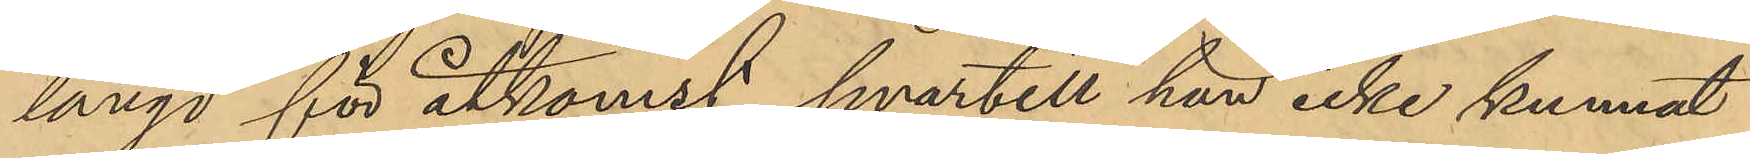längd för åtkomst hvartill han icke kunnat
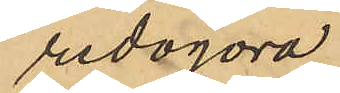redogöra.
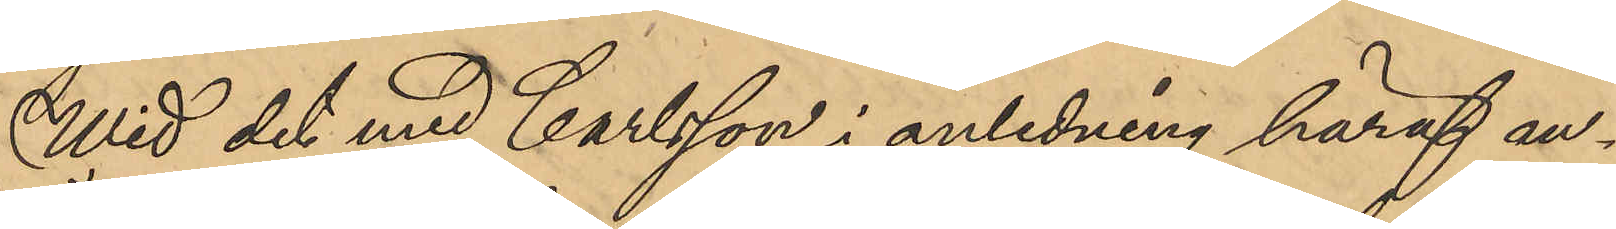Wid det med Carlsson i anledning häraf an¬
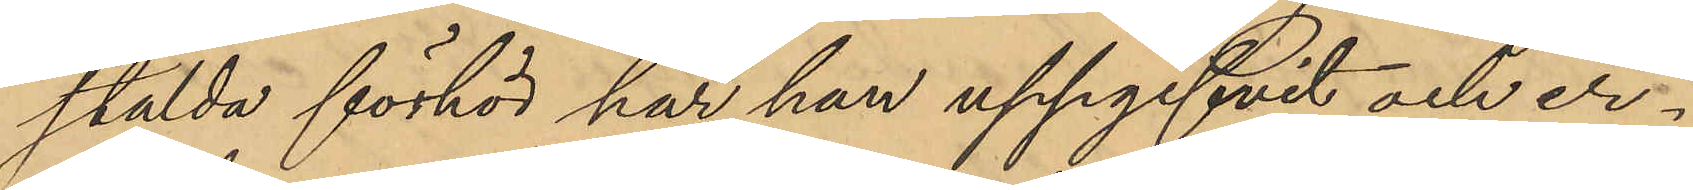stälda förhör har han uppgifvit och er¬
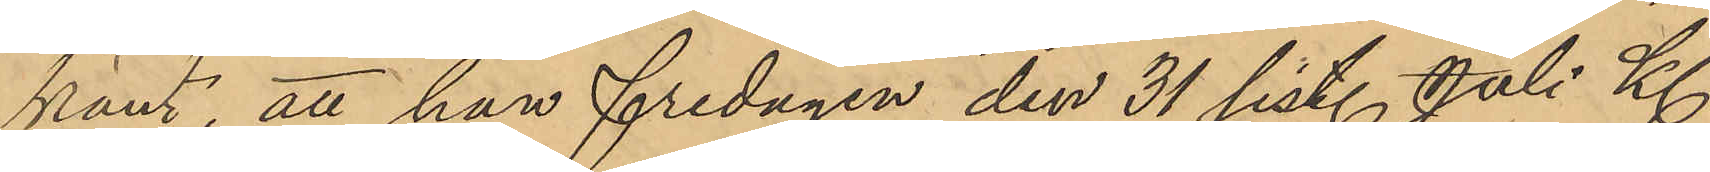känt, att han fredagen den 31 sist. Juli Kl
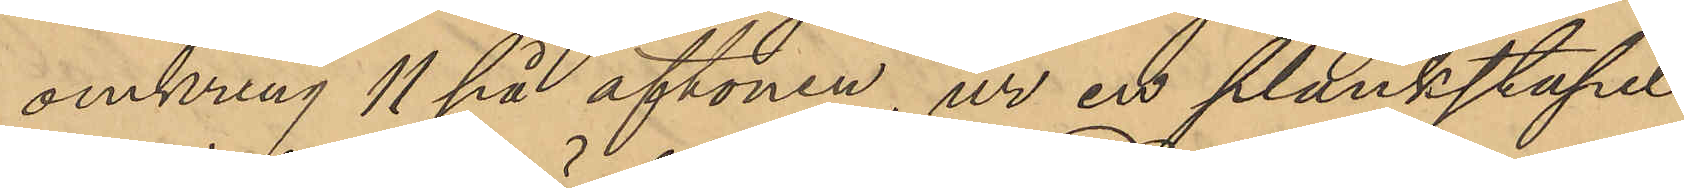omkring 11 på aftonen, ur en plankstapel
